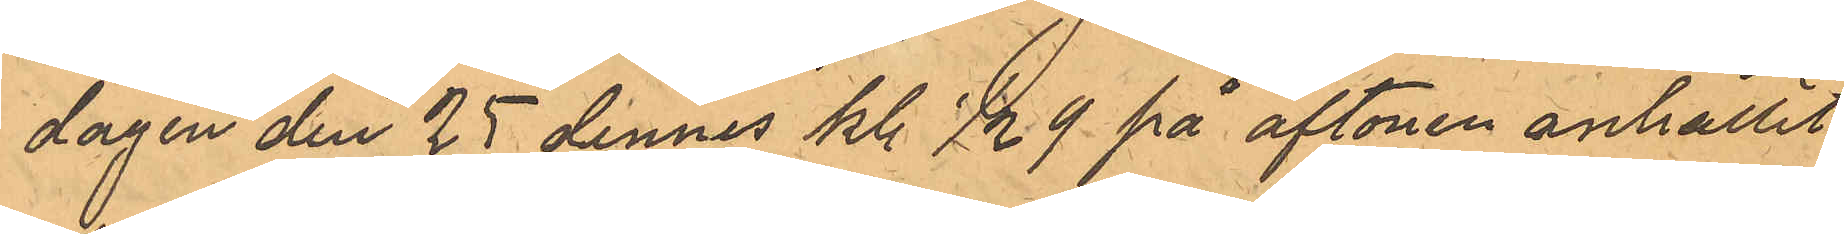dagen den 25 dennes kl. 1/2 9 på aftonen anhållit
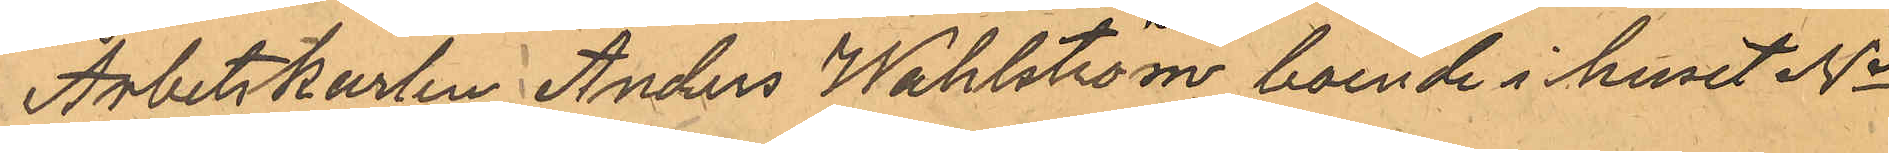Arbetskarlen Anders Wahlström, boende i huset No
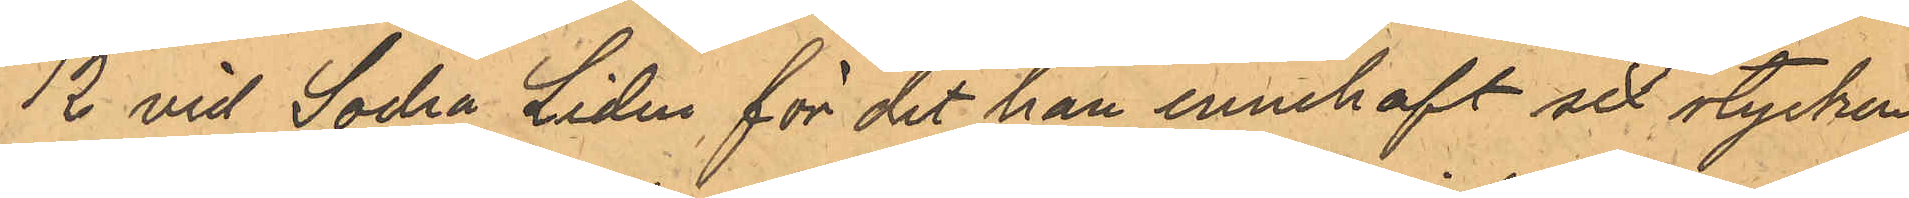12 vid Södra Liden för det han innehaft sex stycken
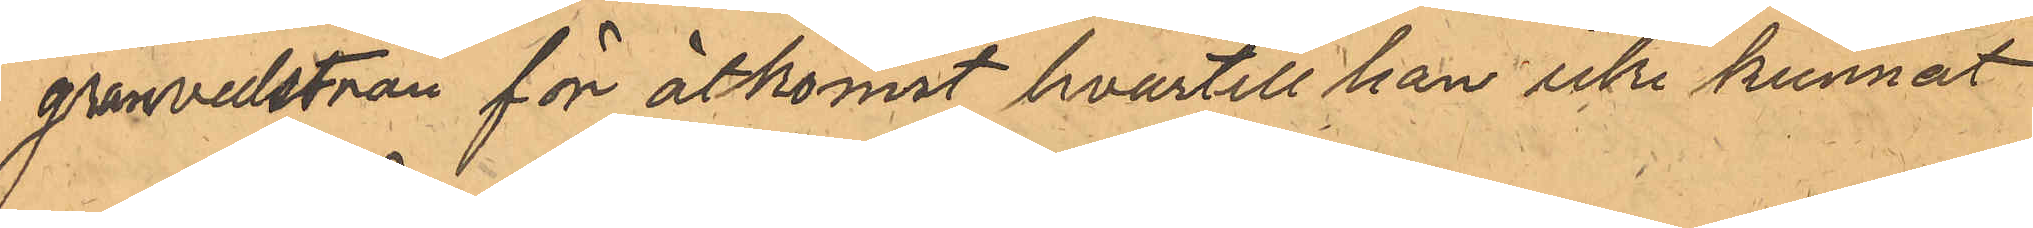granvedsträn för åtkomst hvartill han icke kunnat
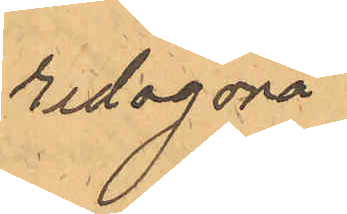redogöra.
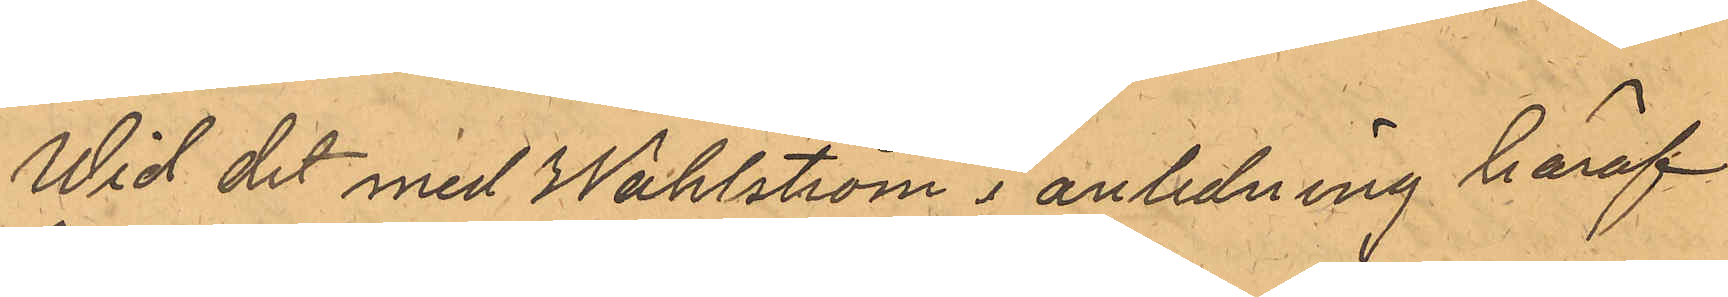Wid det med Wahlström i anledning häraf
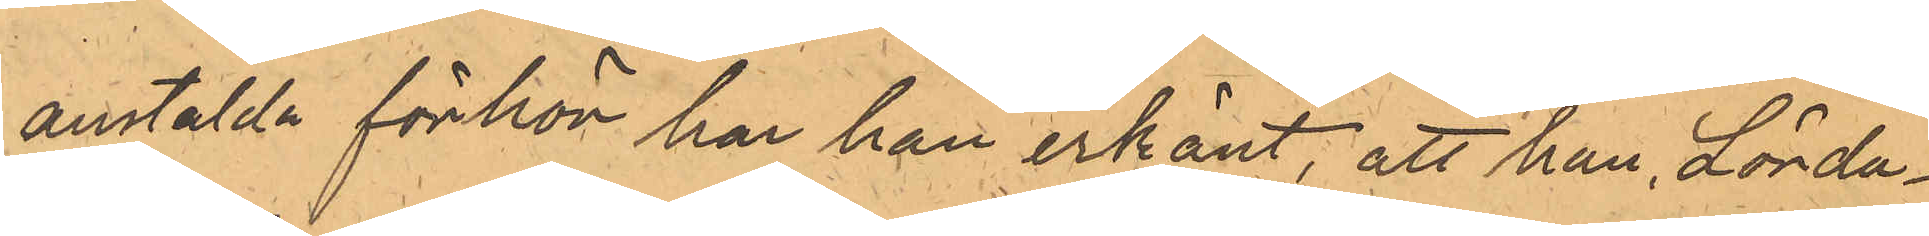anstälda förhör har han erkänt, att han Lörda¬
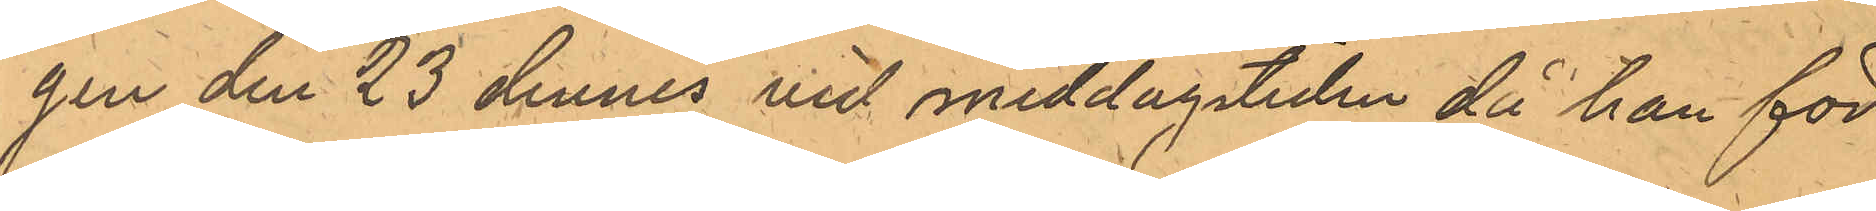gen den 23 dennes vid middagstiden då han för
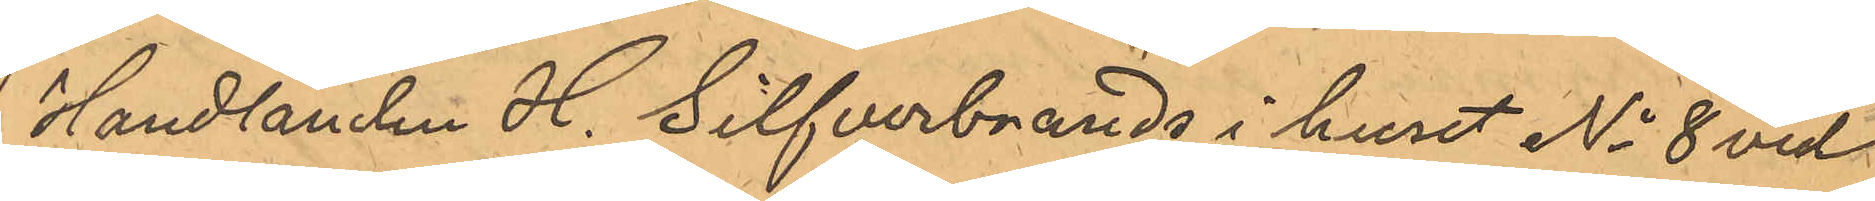Handlanden H. Silfverbrands i huset No 8 vid
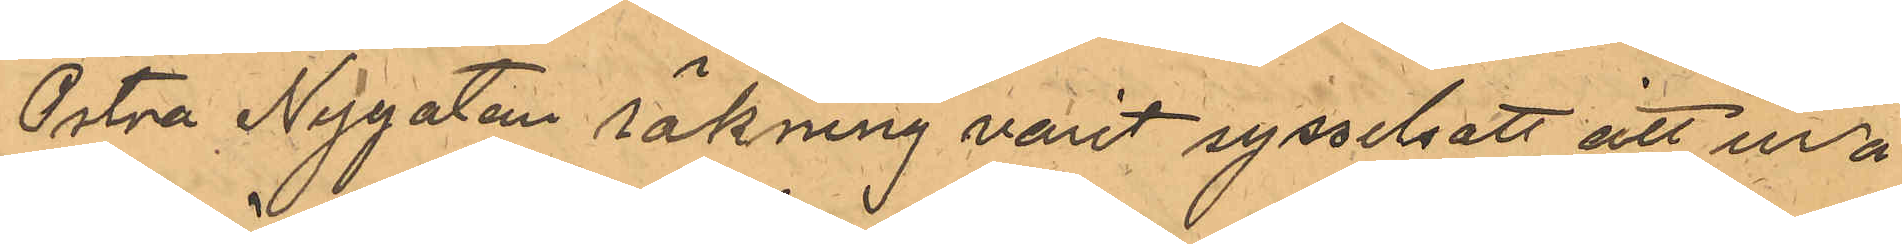Östra Nygatan räkning varit sysselsatt att ur å
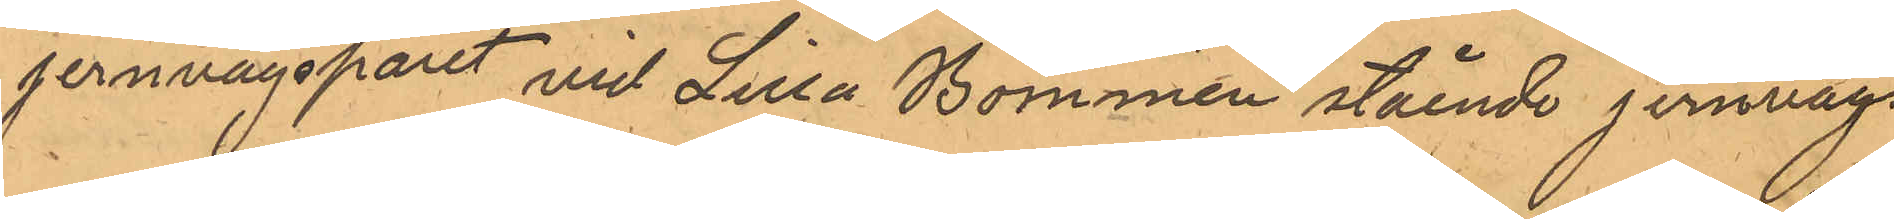jernvägspåret vid Lilla Bommen stående jernvägs¬
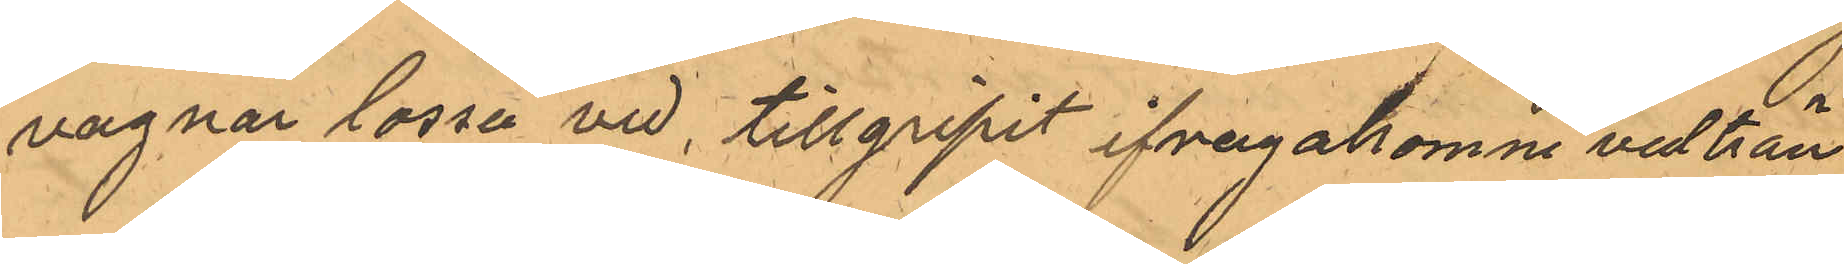vagnar lossa ved, tillgripit ifragakomne vedträn,
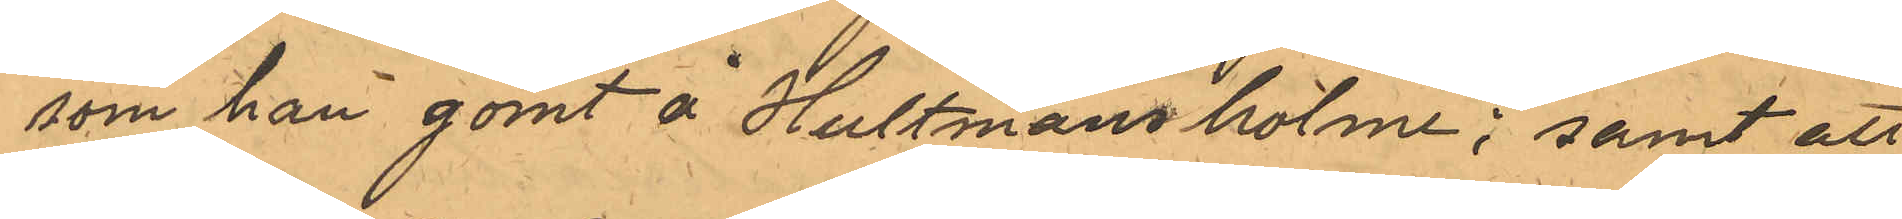som han gömt å Hultmans holme; samt att
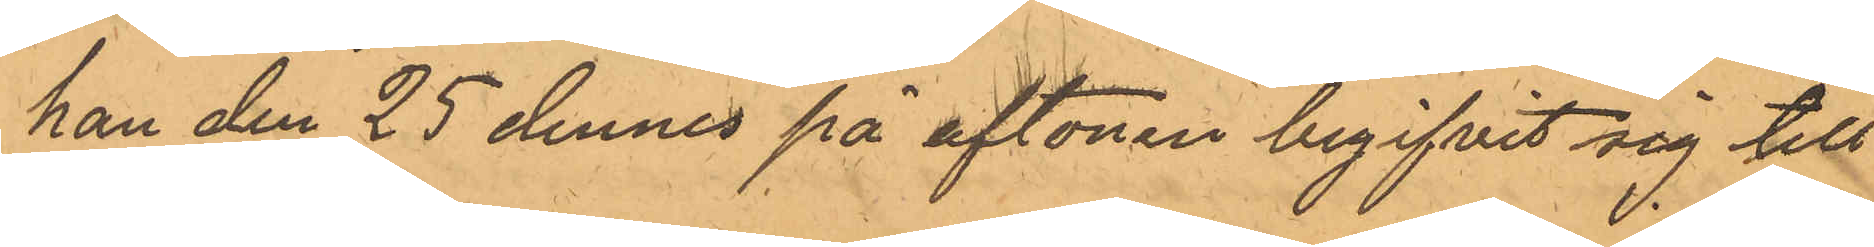han den 25 dennes på aftonen begifvit sig till
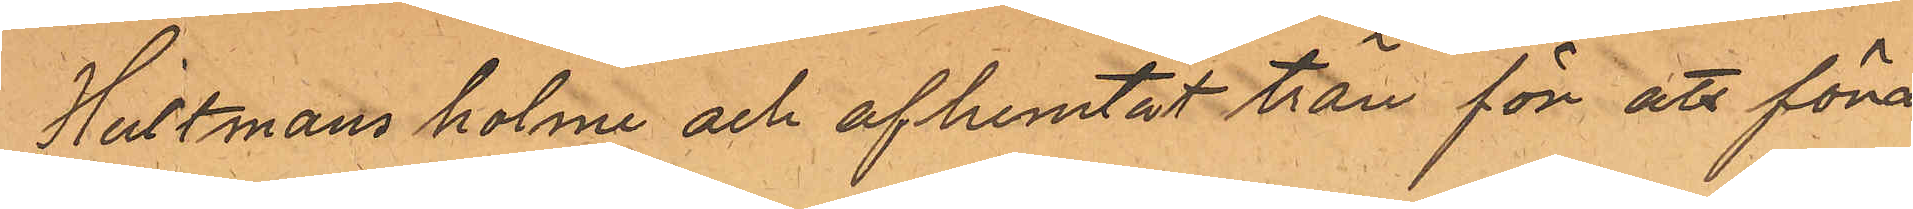Hultmans holme och afhemtat trän för att föra
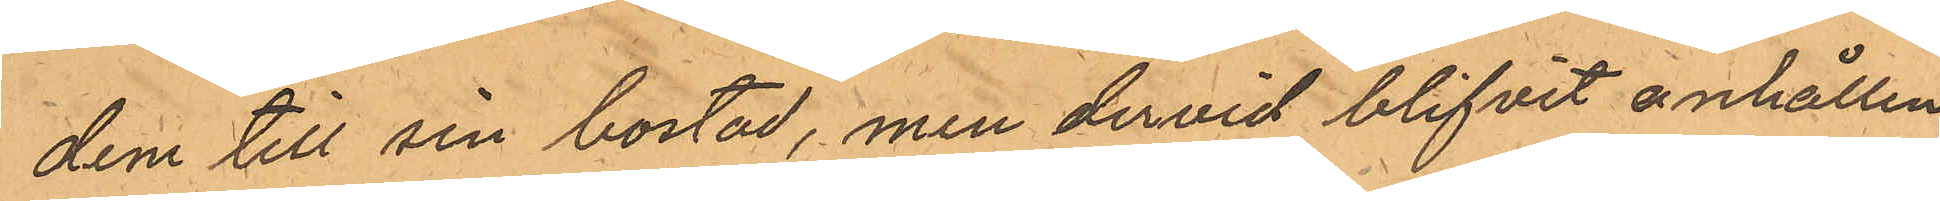dem till sin bostad, men dervid blifvit anhållen
